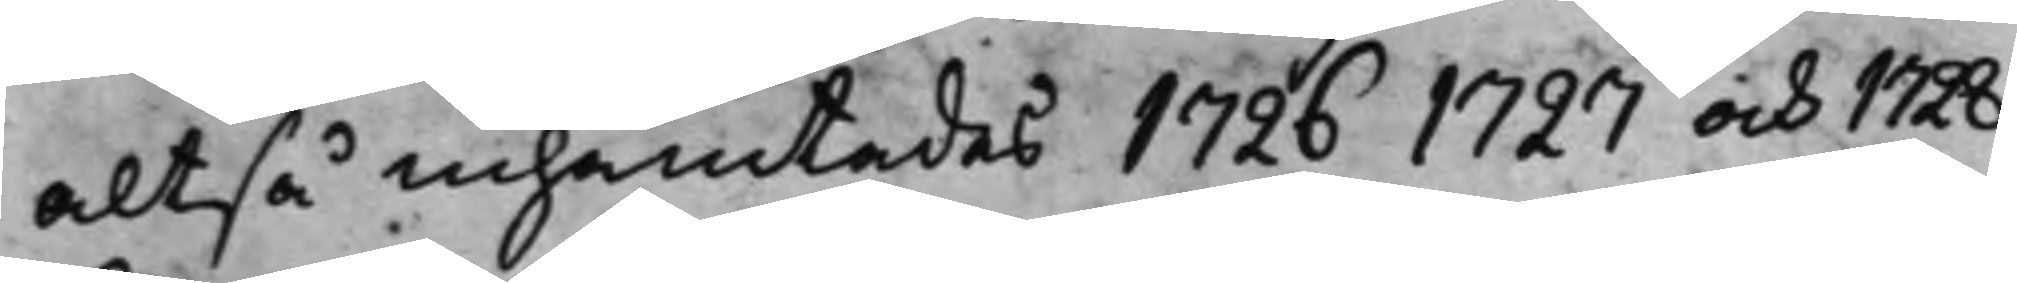altså inhämtades 1726 1727 och 1728
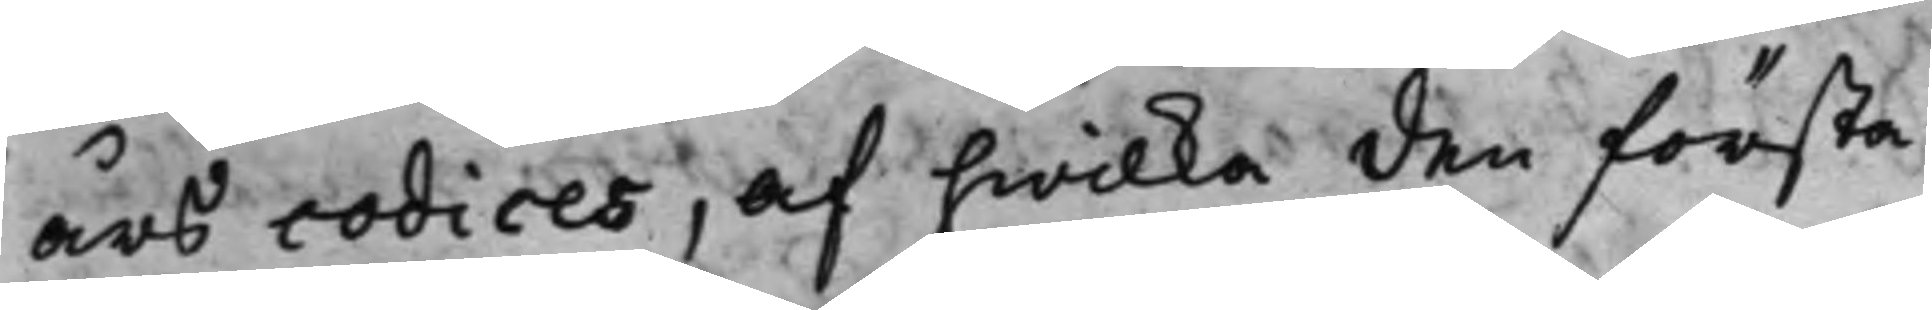års codices, af hwilka den första
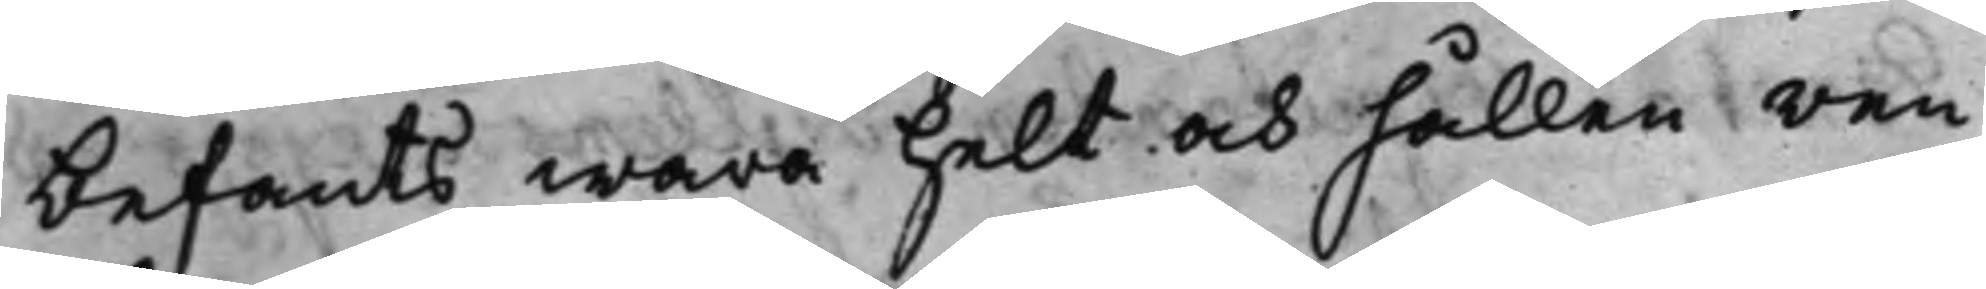befants wara helt och hållen ren¬
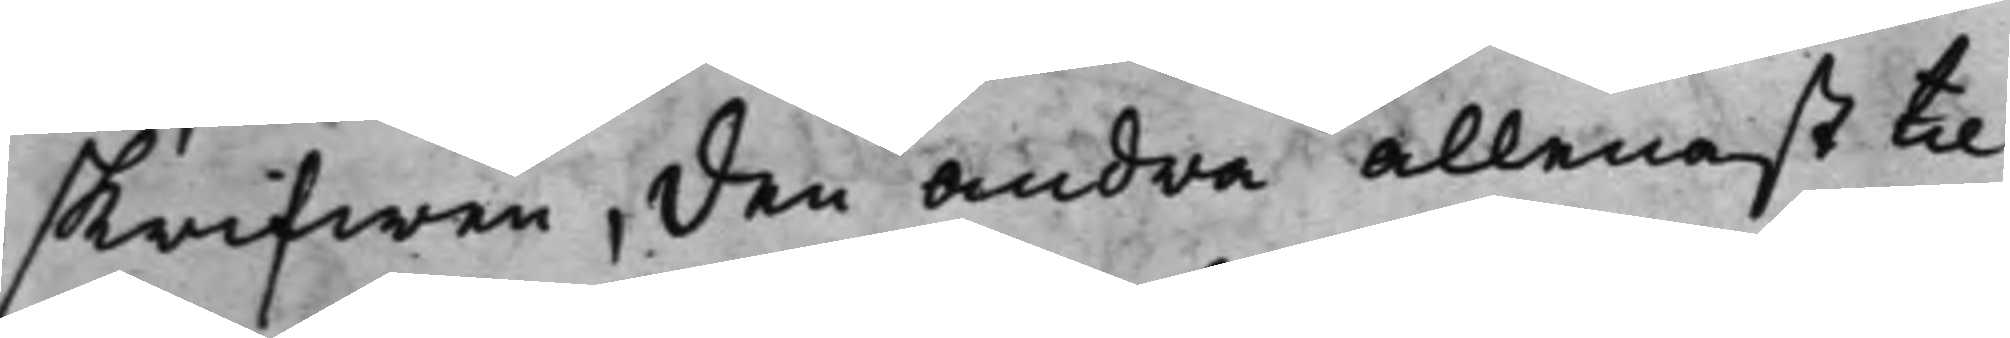skrifwen, den andra allenast til
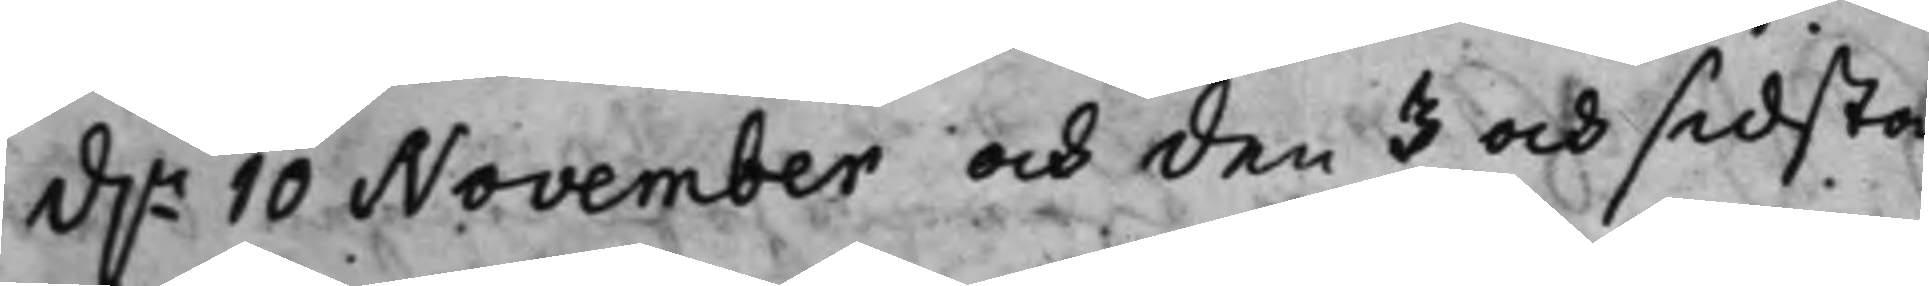d.n 10 November och den 3 och sidsta
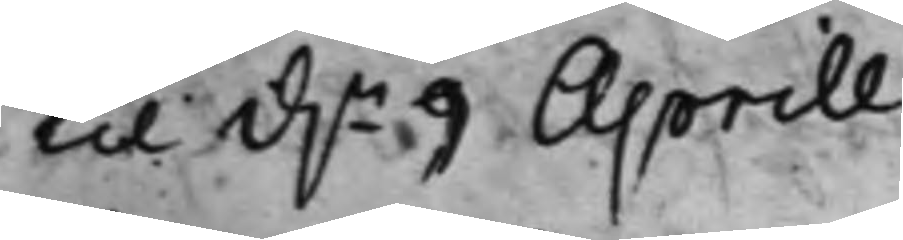til d.n 9 Aprill.
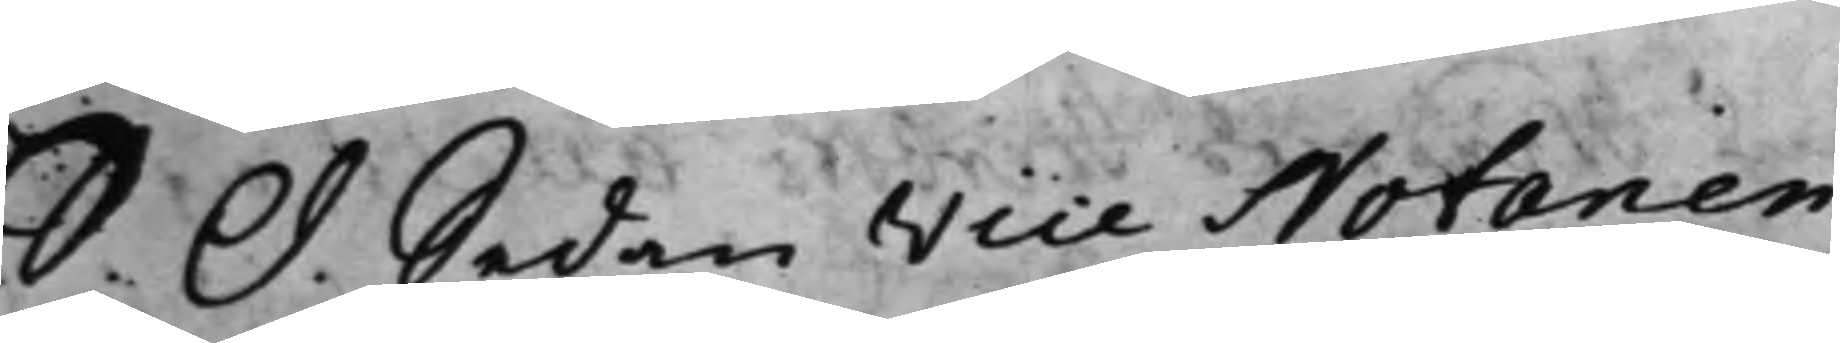S. d. Sedan Vice Notarien
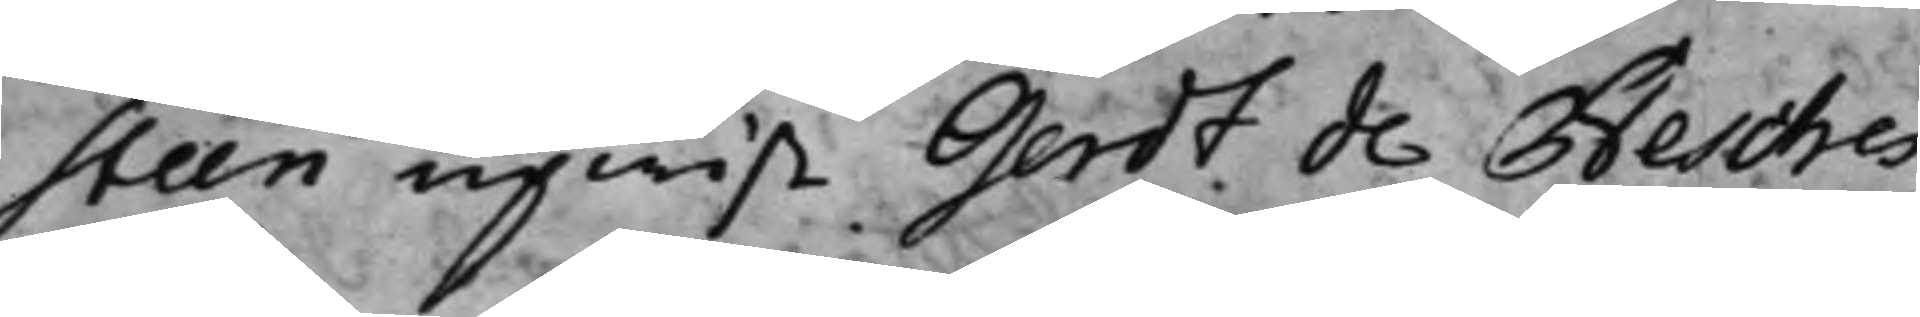steen upwist Gerdt de Besches
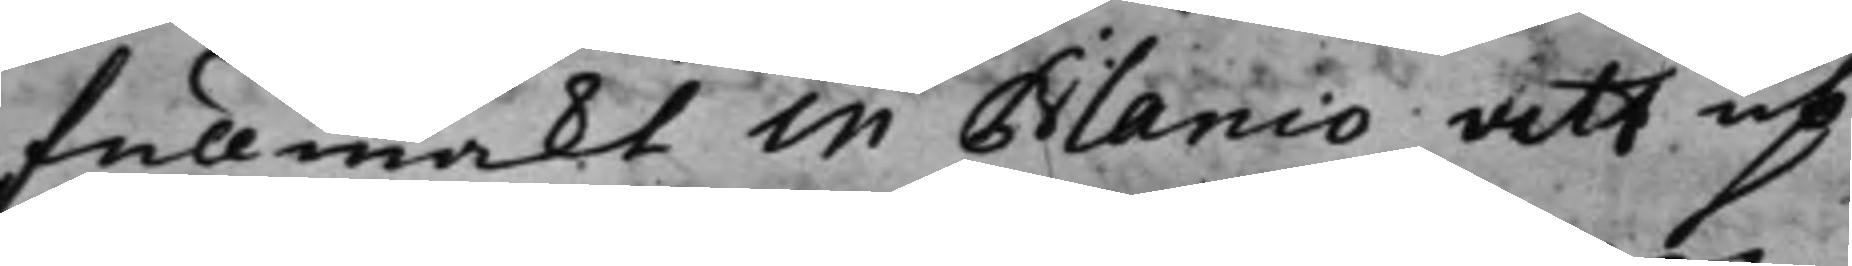fullmackt in Blanco att up¬
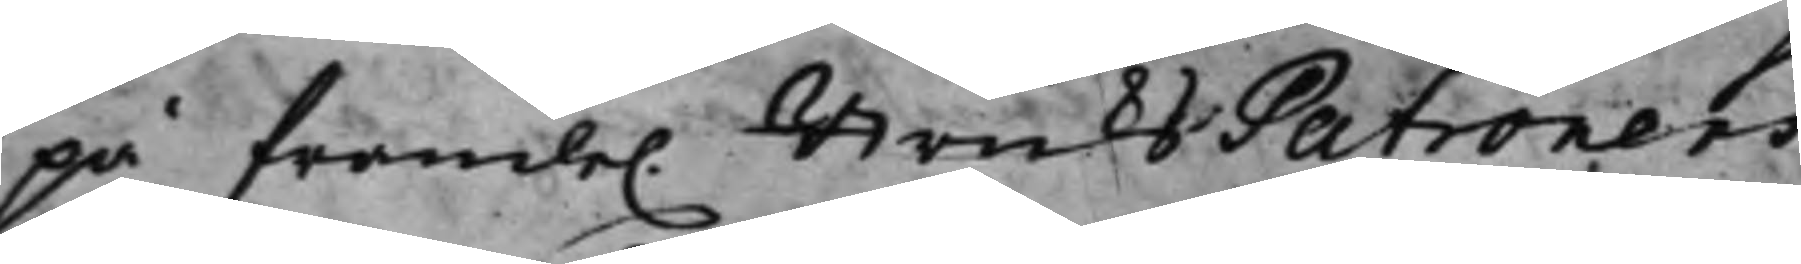på framli. BruksPatronens
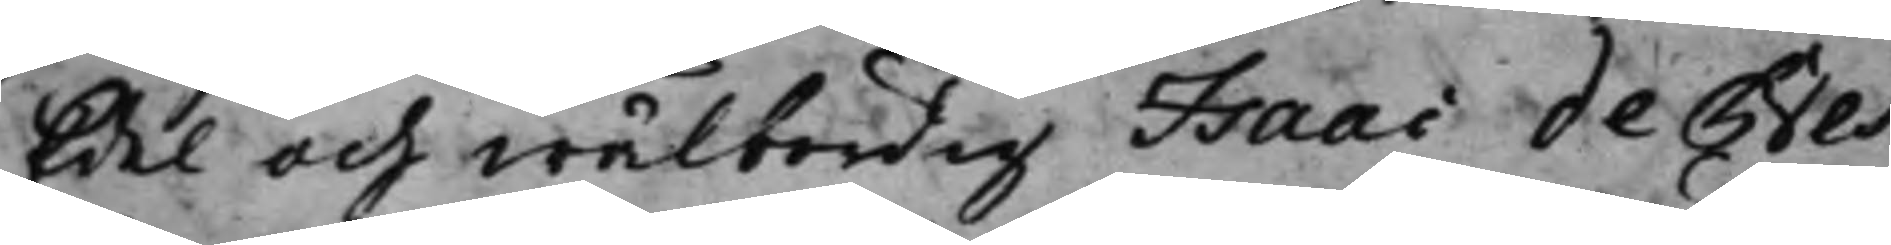Edel och wälbördig Isaac de Bes¬
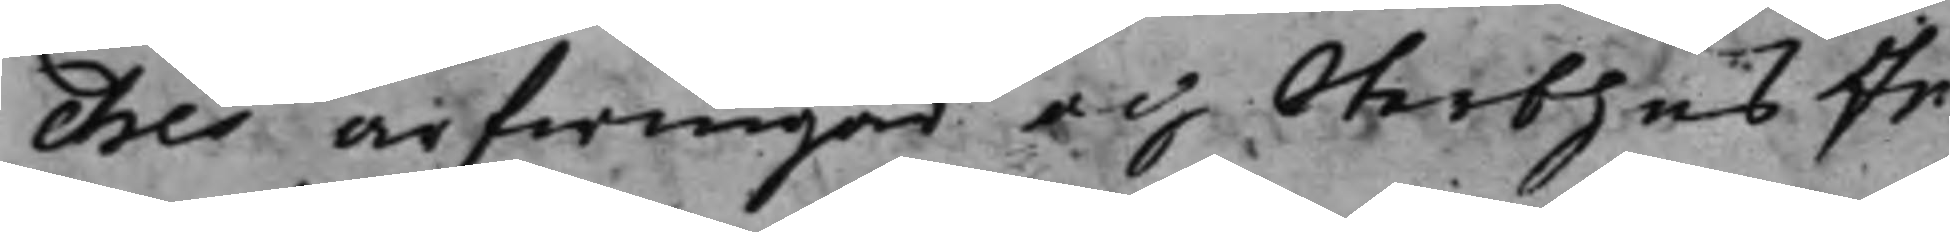ches arfwingar och Sterbhus In¬
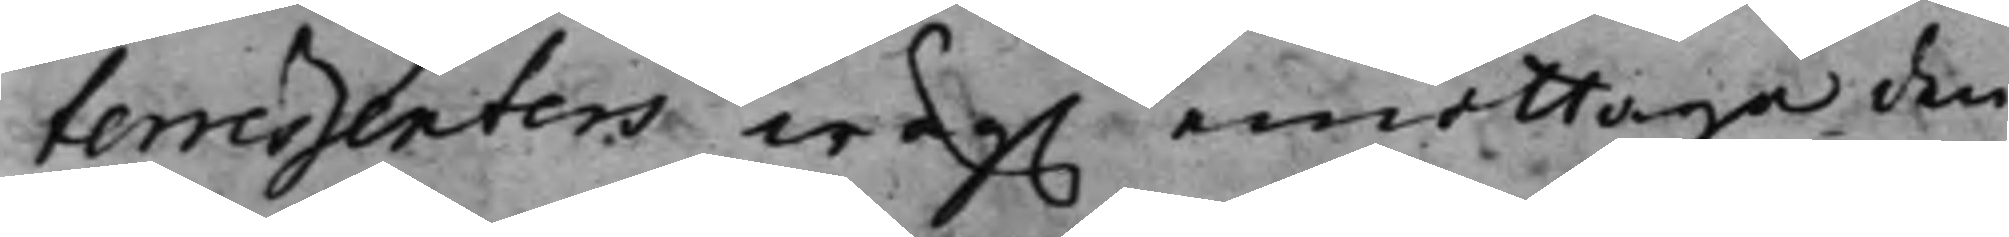teressenters wäg. emottaga den
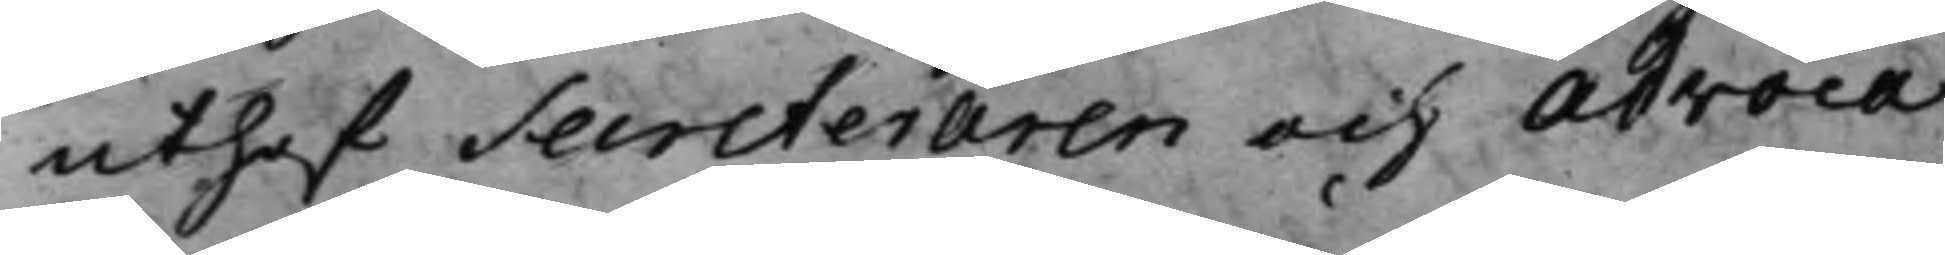uthaf Secreteraren och Advoca¬
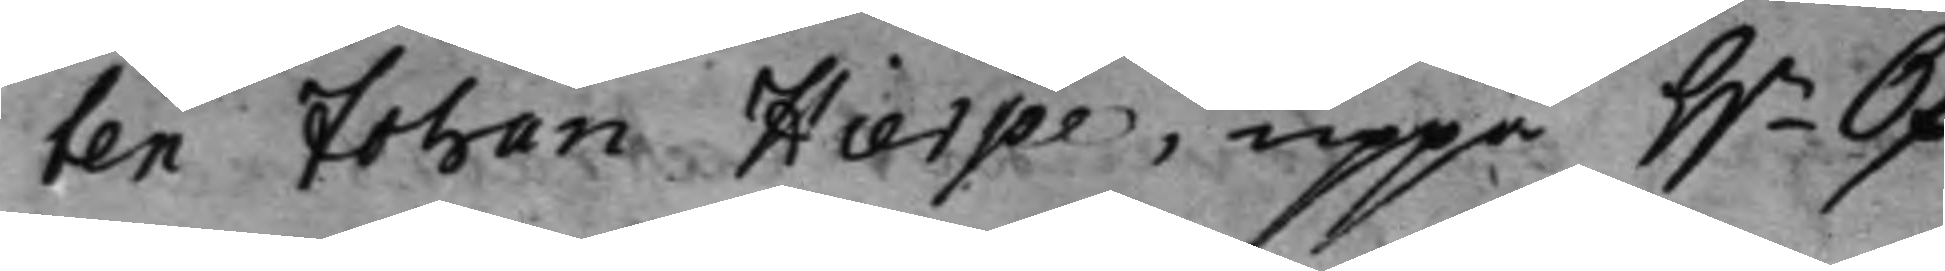ten Johan Hierpe, uppå H.r Öf¬
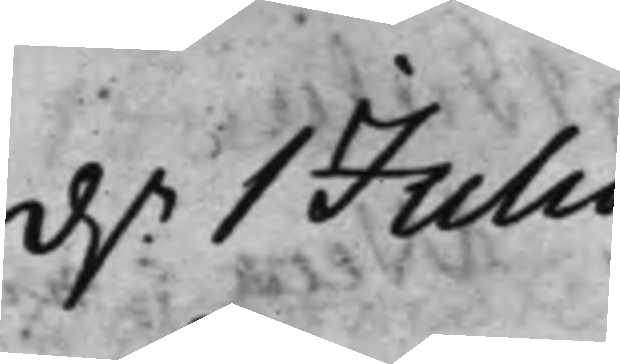d.n 1 Julii
